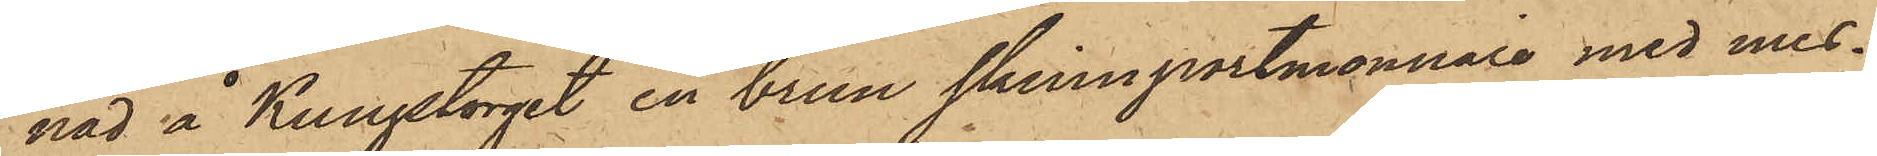nad å Kungstorget en brun skinnportmonnaie med mes¬
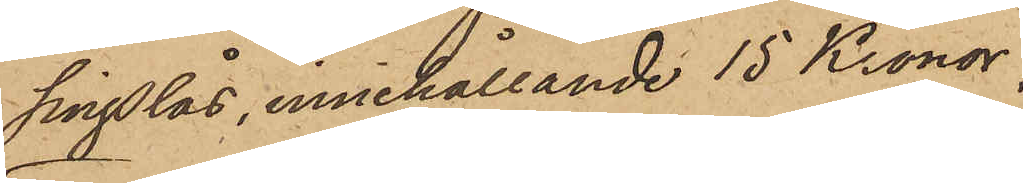singslås, innehållande 15 Kronor;
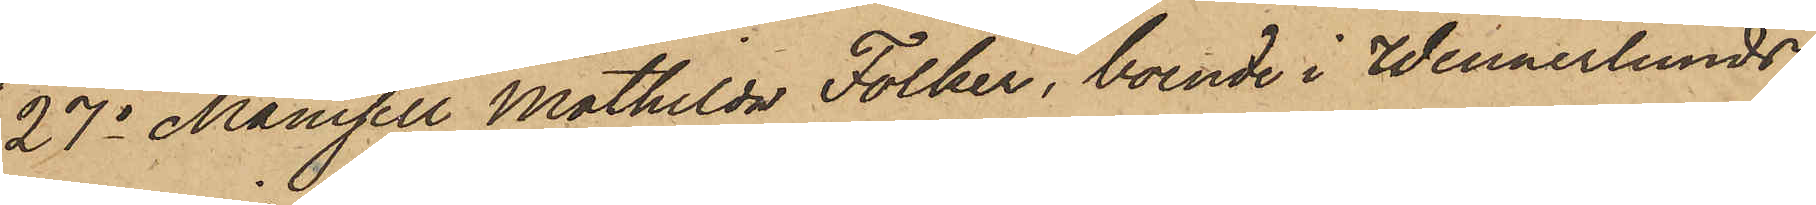27o Mamsell Mathilda Folker, boende i Wennerlunds
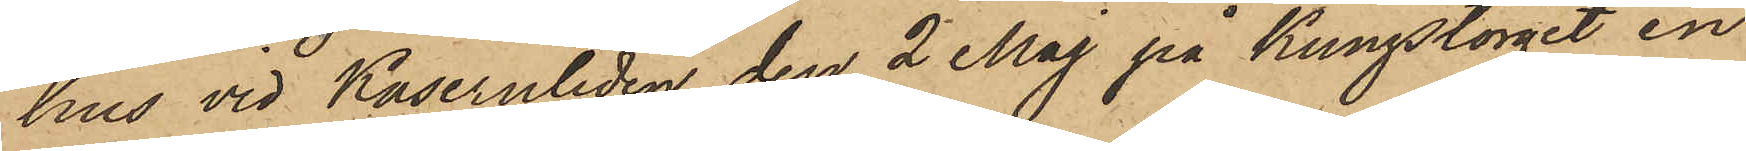hus vid Kasernliden den 2 Maj på Kungstorget en
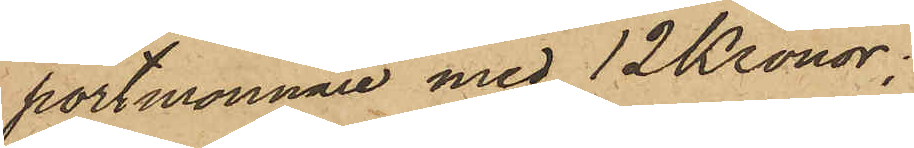portmonnaie med 12 Kronor;
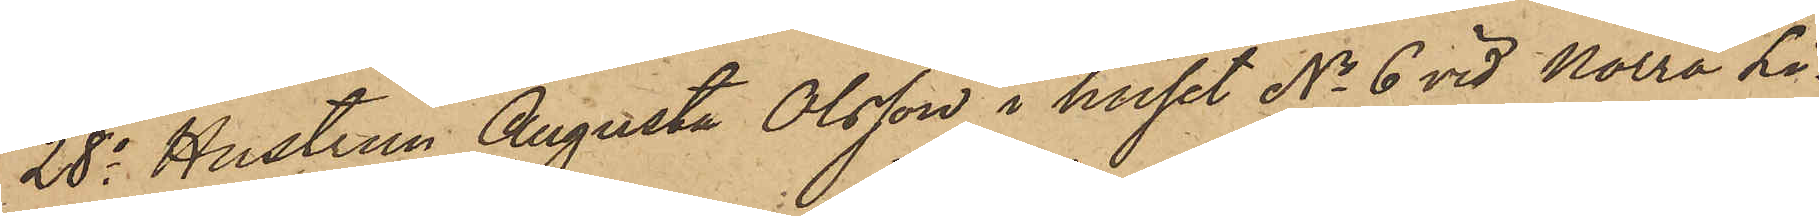28o Hustrun Augusta Olsson i huset No 6 vid Norra Li¬
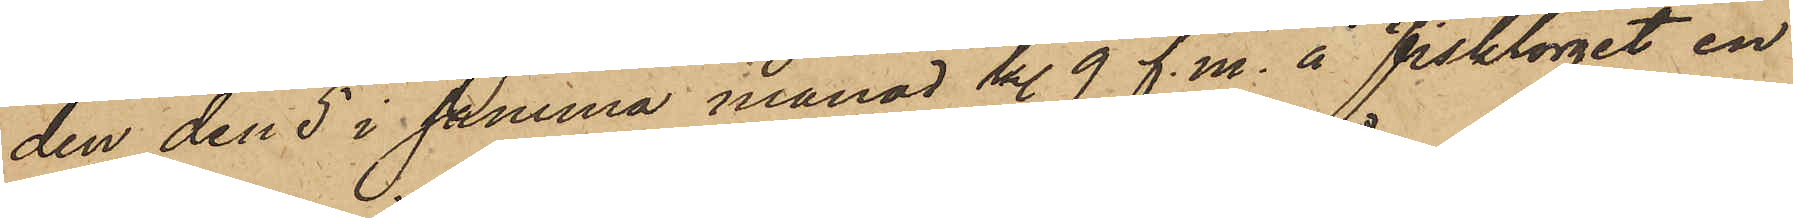den den 5 i samma månad kl. 9 f. m. å Fisktorget en
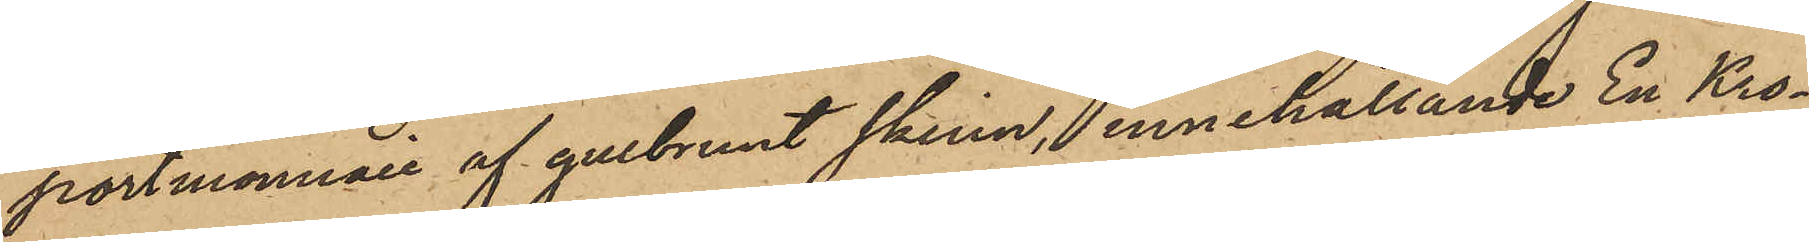portmonnaie af gulbrunt skinn, innehållande En Kro¬
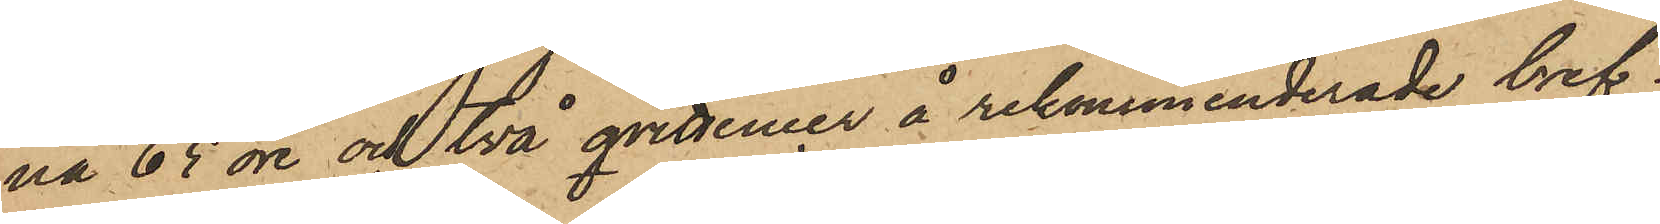na 65 öre och två qvittencer å rekommenderade bref;
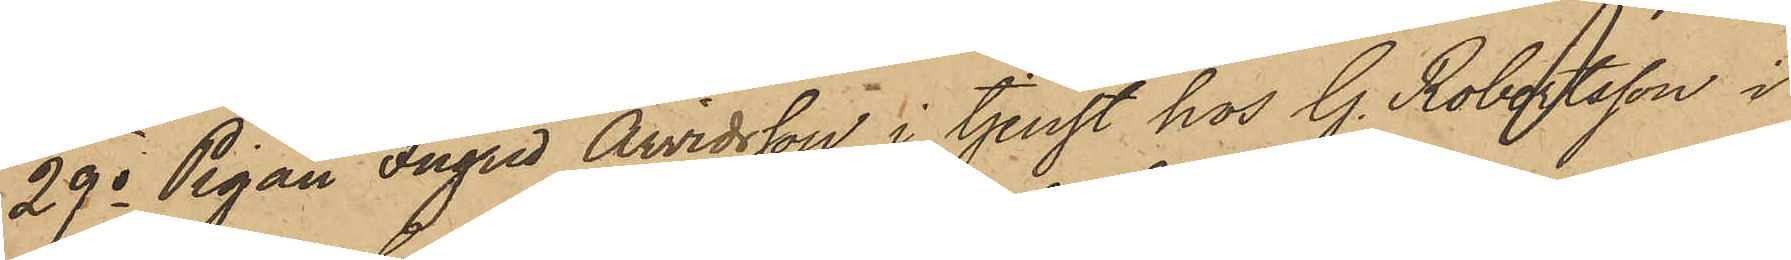29o Pigan Ingrid Arvidsson, i tjenst hos G. Robertsson i
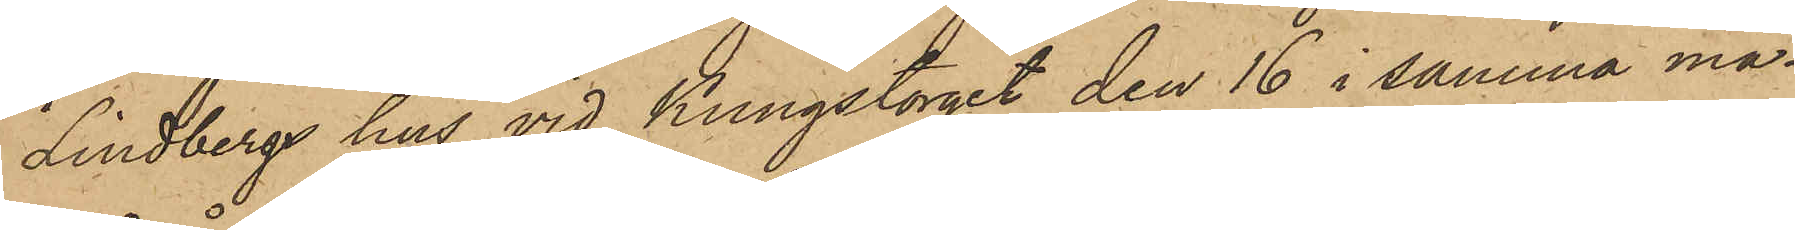Lindbergs hus vid Kungstorget den 16 i samma må¬
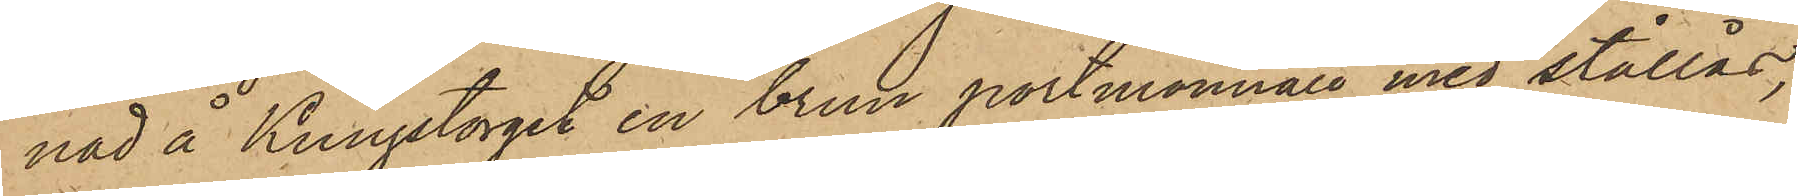nad å Kungstorget en brun portmonnaie med stållås,
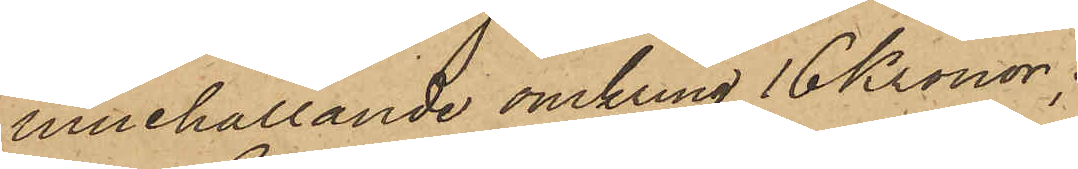innehållande omkring 16 Kronor;
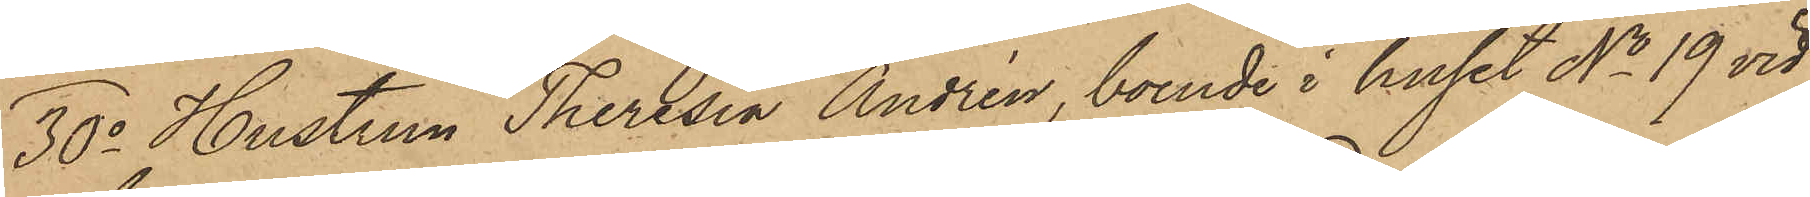30o Hustrun Theresia Andrén, boende i huset No 19 vid
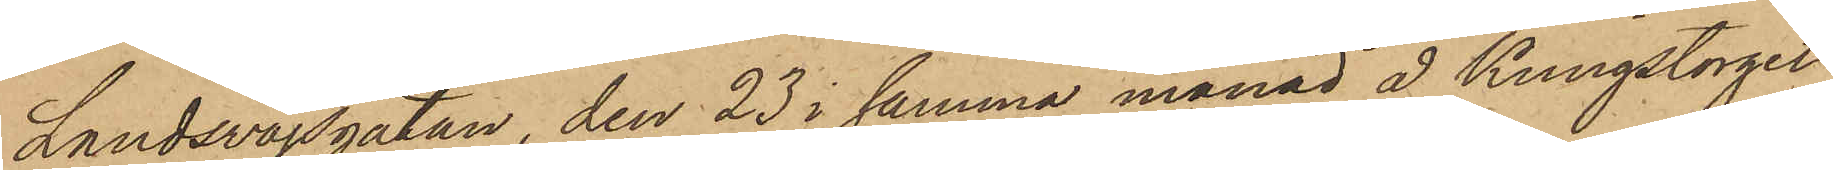Landsvägsgatan den 23 i samma månad å Kungstorget
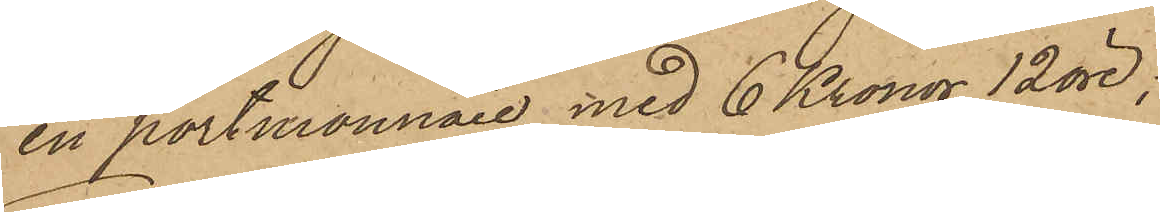en portmonnaie med 6 Kronor 12 öre;
